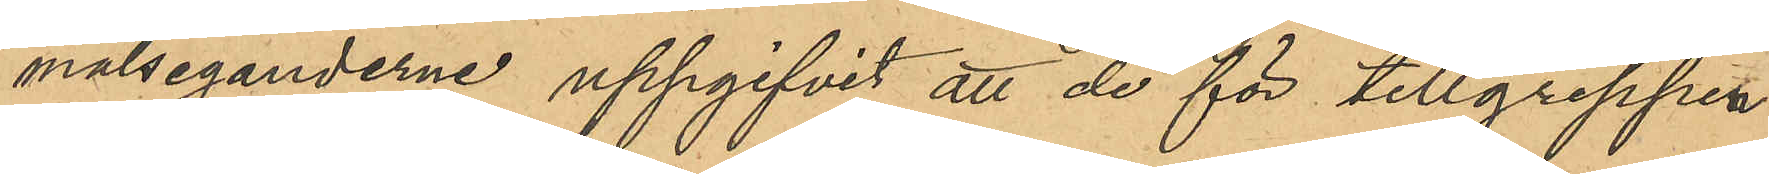målseganderne uppgifvit att de för tillgreppen
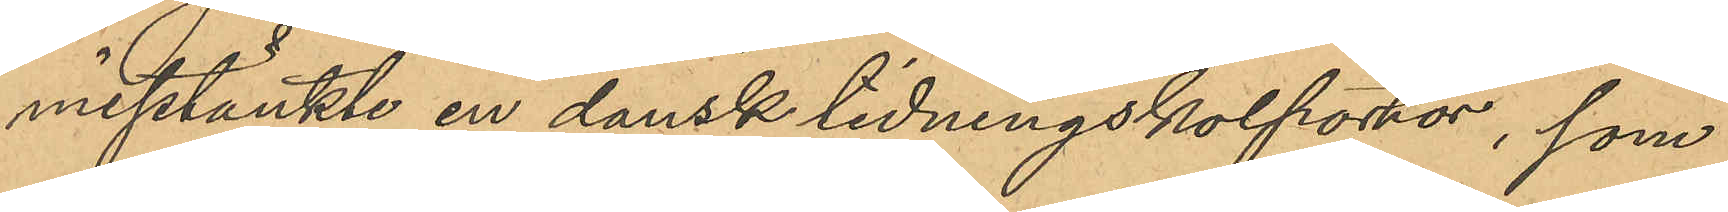misstänkte en dansk tidningskolportör, som
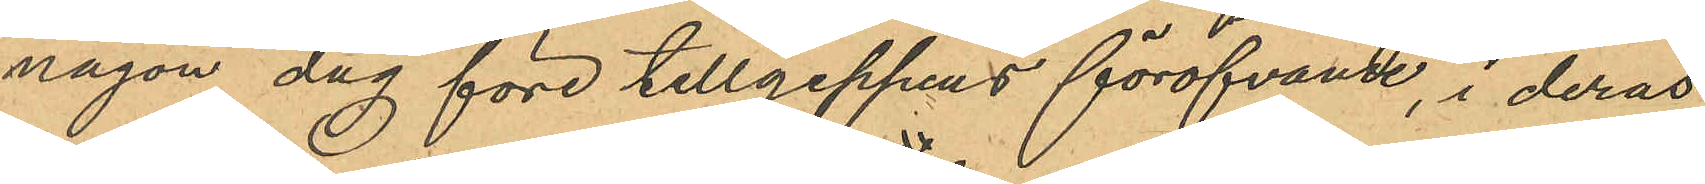någon dag före tillgeppens föröfvande, i deras
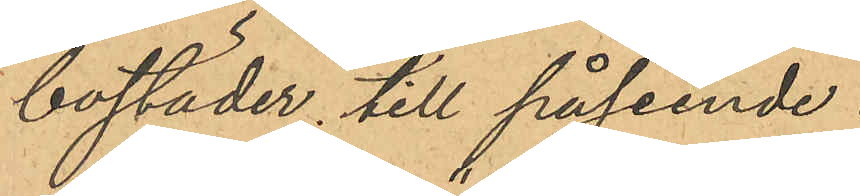bostäder till påseende
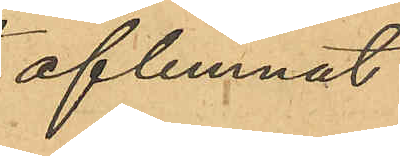aflemnat
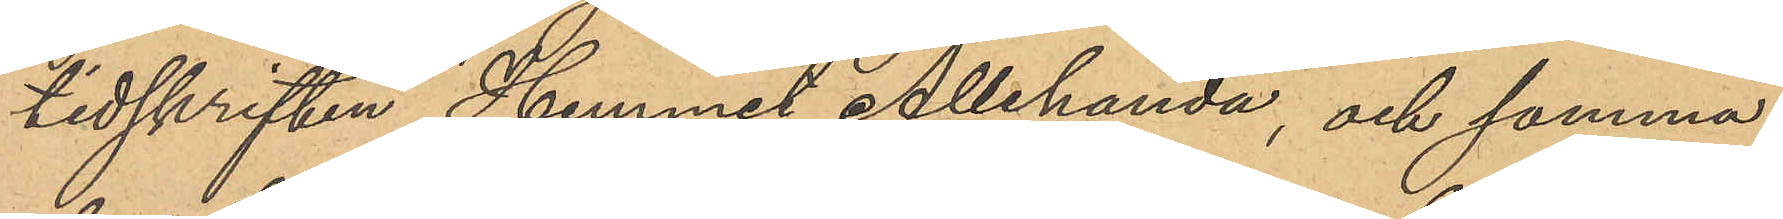tidskriften "Hemmet Allehanda", och samma
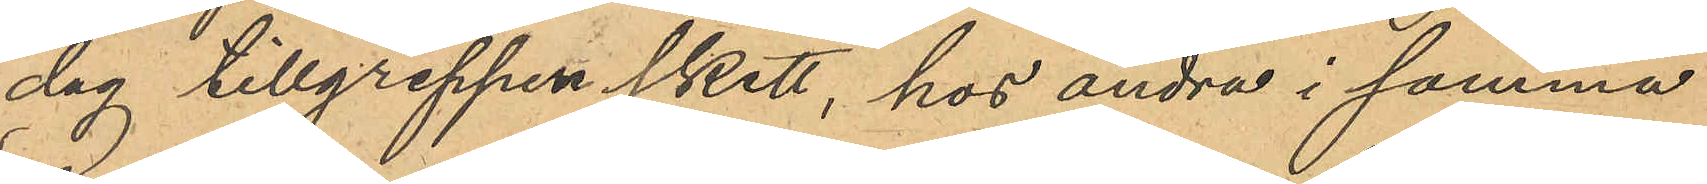dag tillgreppen skett, hos andra i samma
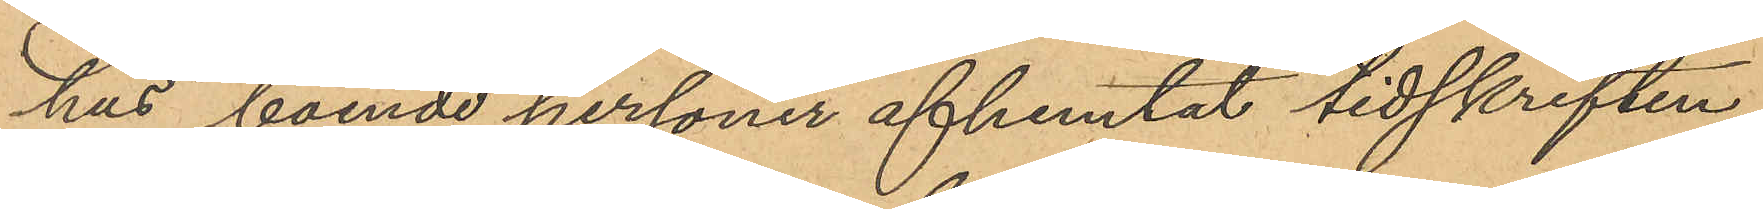hus boende personer afhemtat tidskriften,
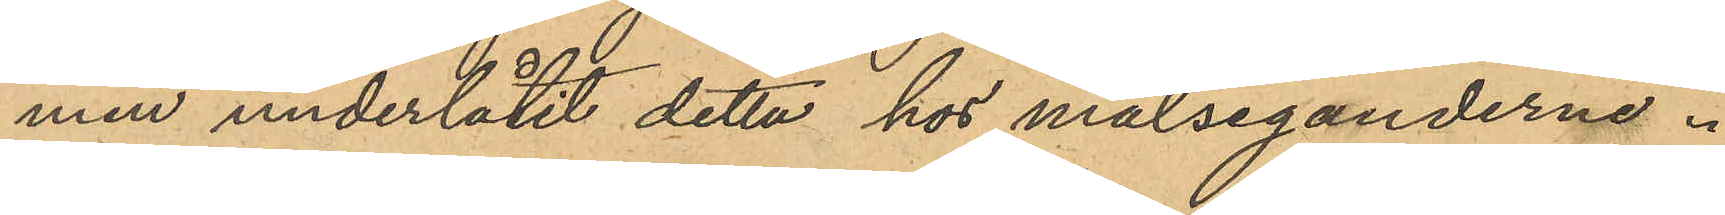men underlåtit detta hos målseganderna.
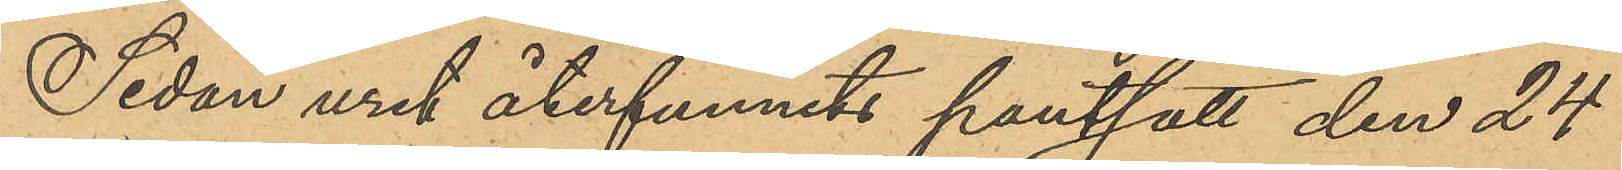Sedan uret återfunnits pantsatt den 24
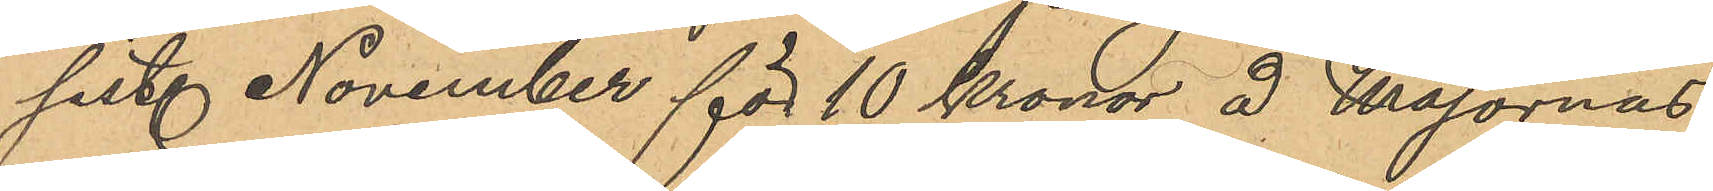sist. November för 10 Kronor å Majornas
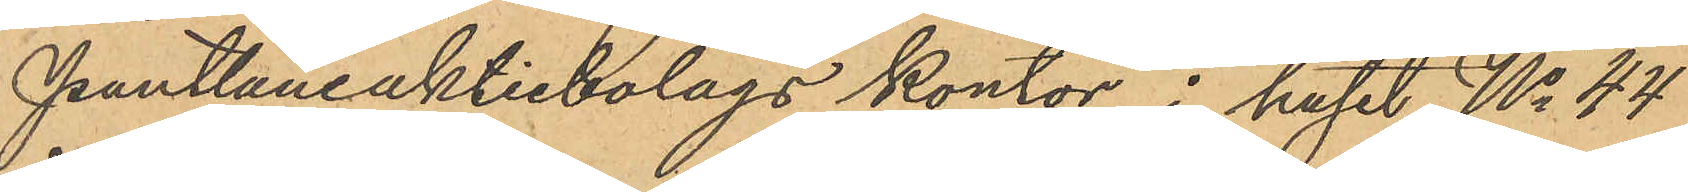Pantlåneaktiebolags kontor i huset No 44
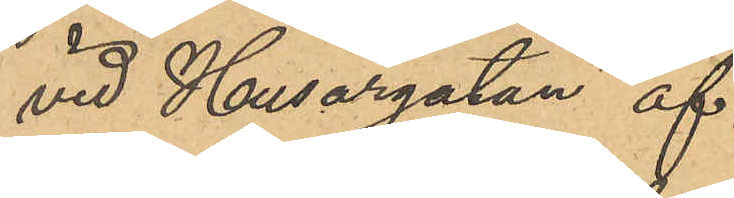vid Husargatan af
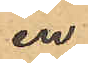en
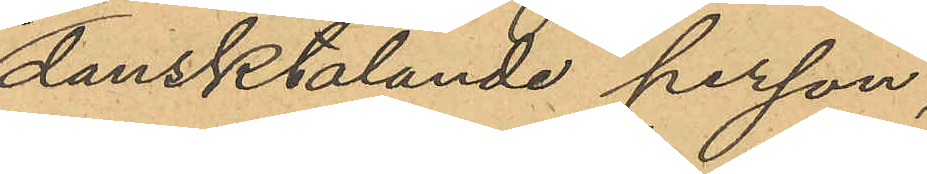dansktalande person,
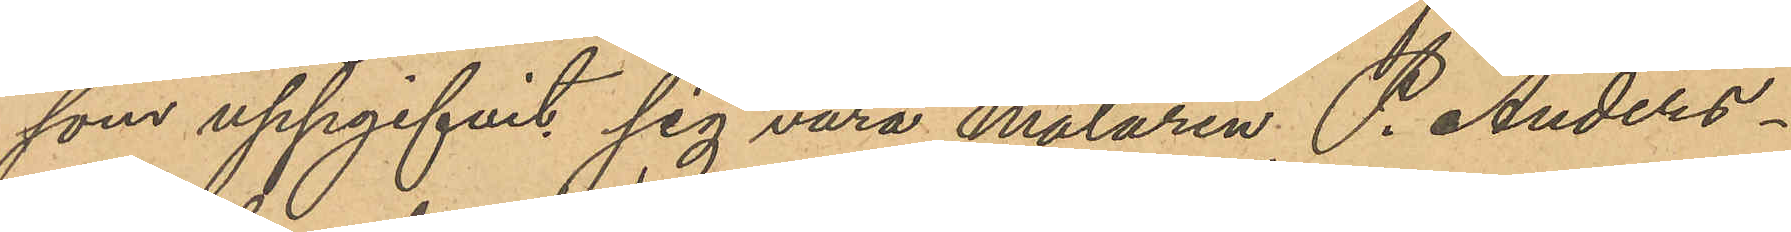som uppgifvit sig vara målaren P. Anders¬
